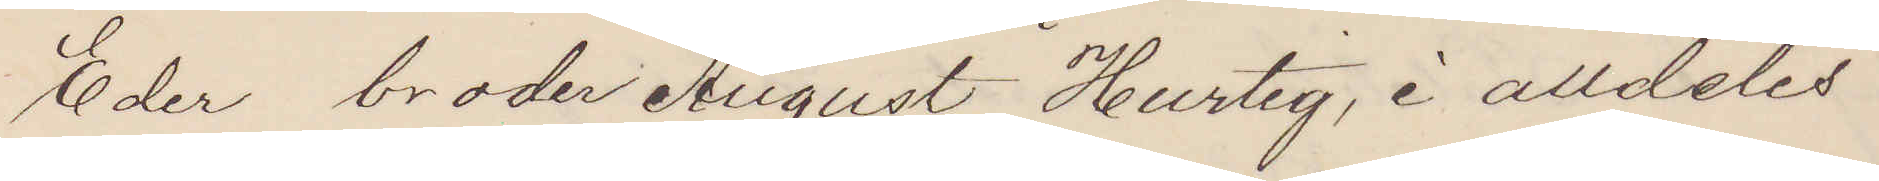Eder broder August Hurtig, i alldeles
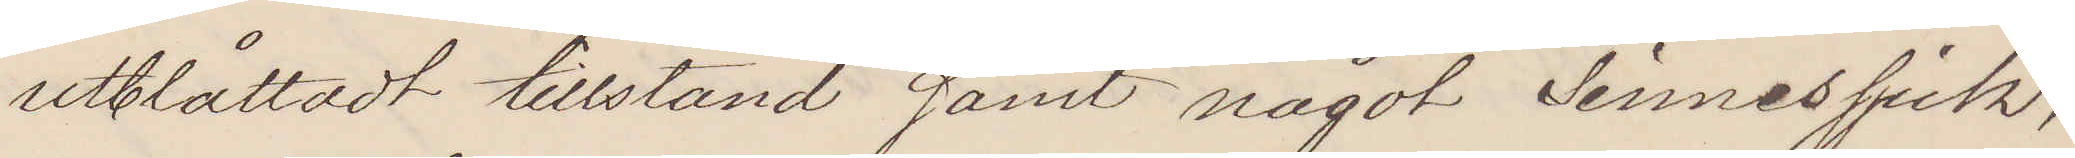utblåttadt tillstånd samt något sinnessjuk,
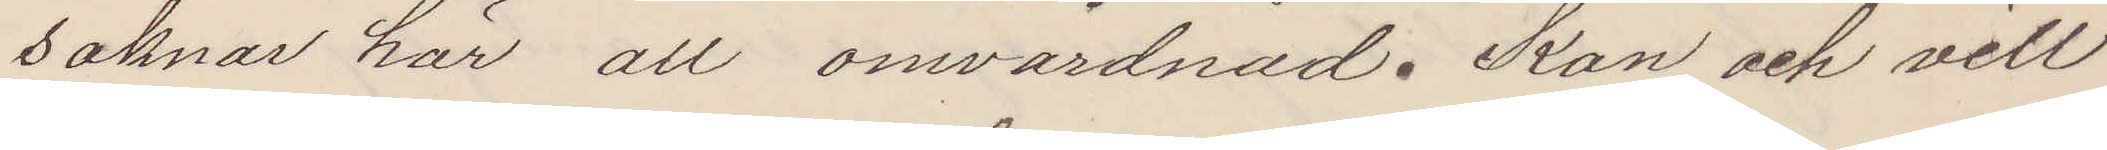saknar här all omvårdnad. Kan och vill
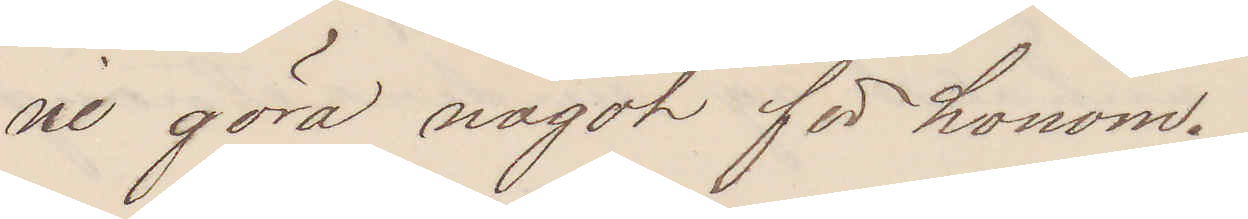ni göra något för honom.
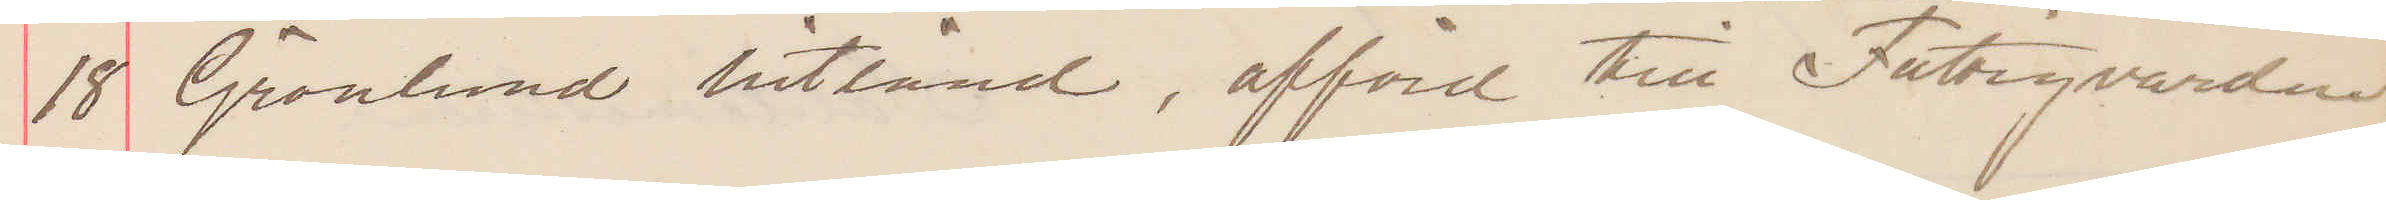18 Grönlund hitsänd, afförd till Fattigvården.
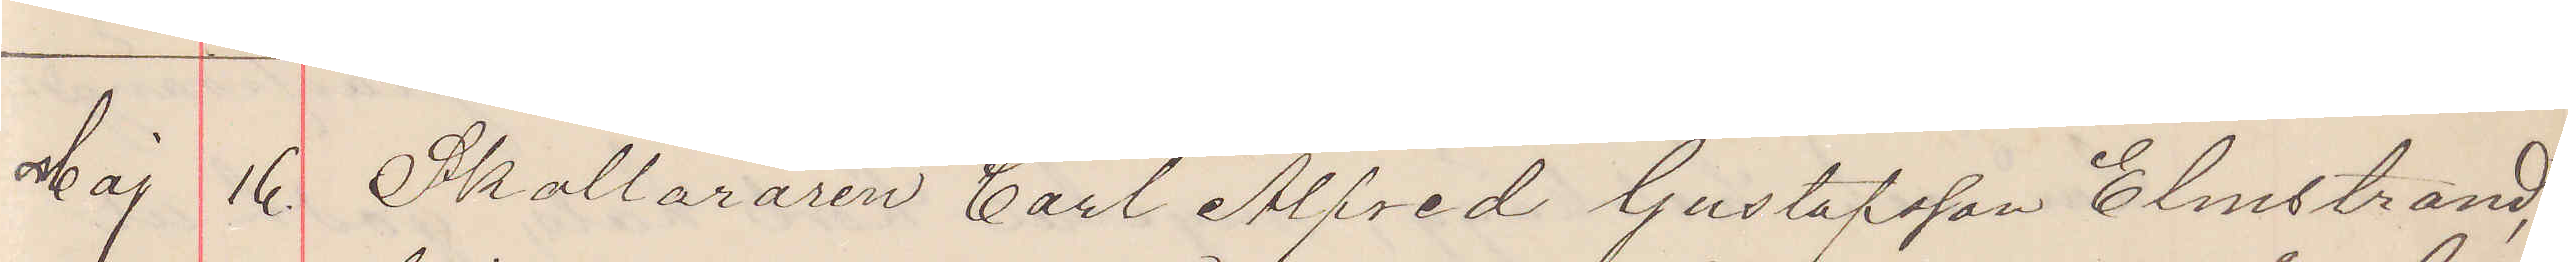Maj 16. Skolläraren Carl Alfred Gustafsson Elmstrand,
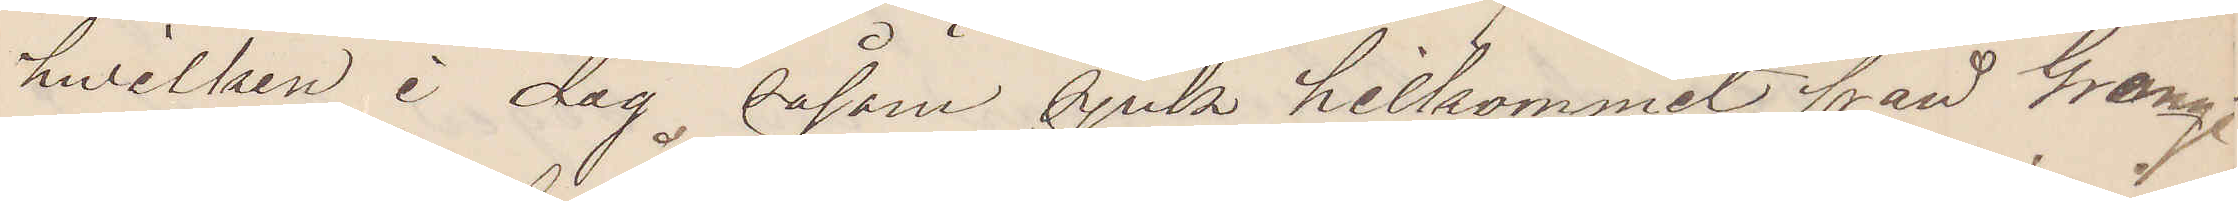hwilken i dag, såsom sjuk hitkommit från Grange¬
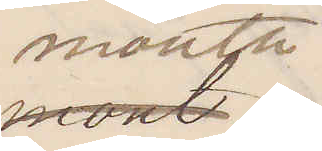mouth
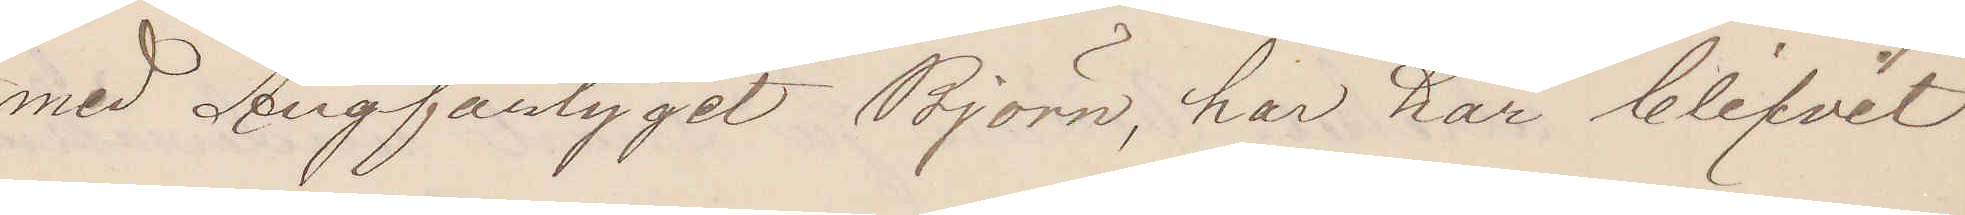med Ångfartyget Björn, har här blifvit
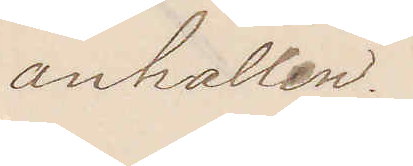anhållen.
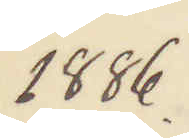1886.
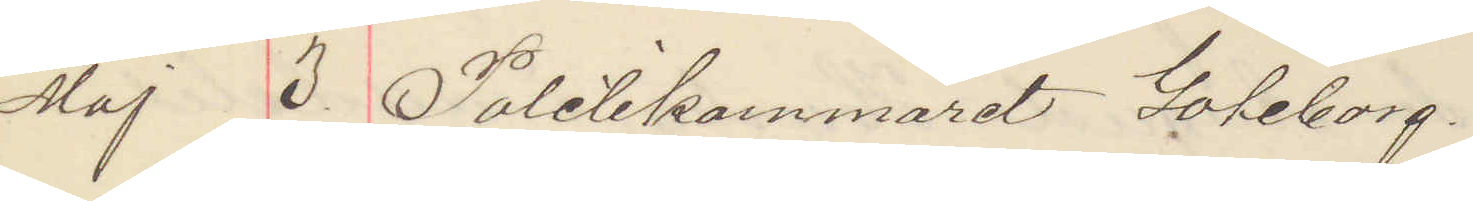Maj 3 Politikammaret Göteborg.
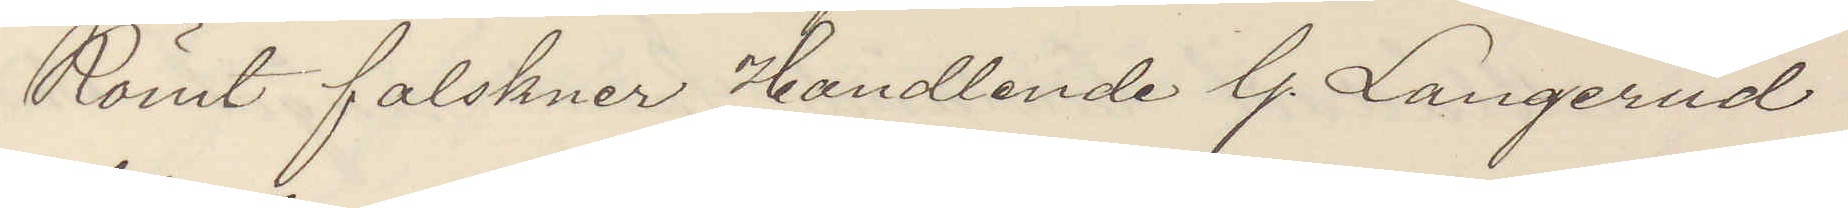Römt falskner Handlande G. Langerud
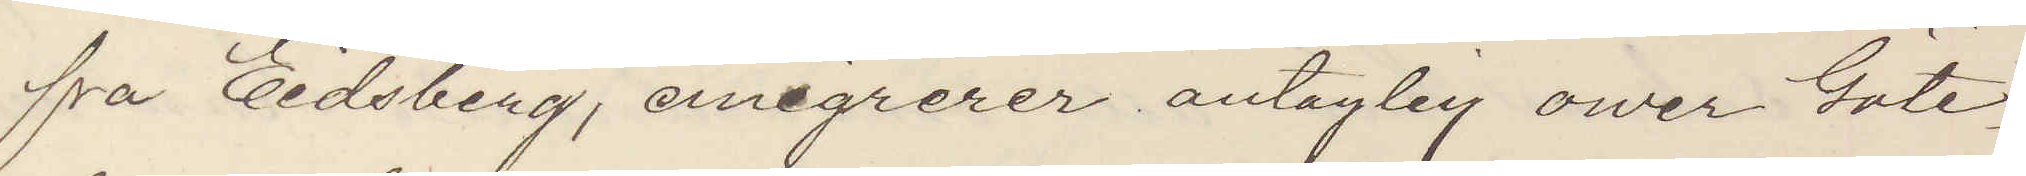frå Eidsberg, emigrerer antaglig ower Göte¬
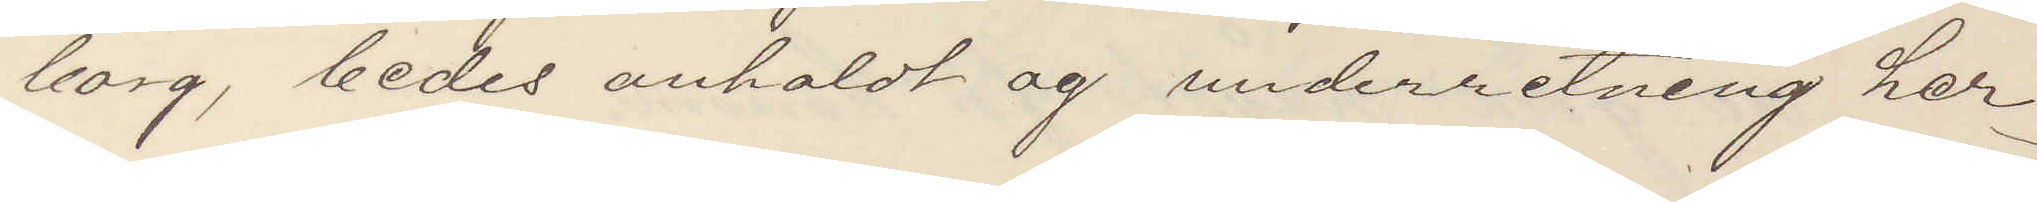borg, bedes anholdt og underretning her
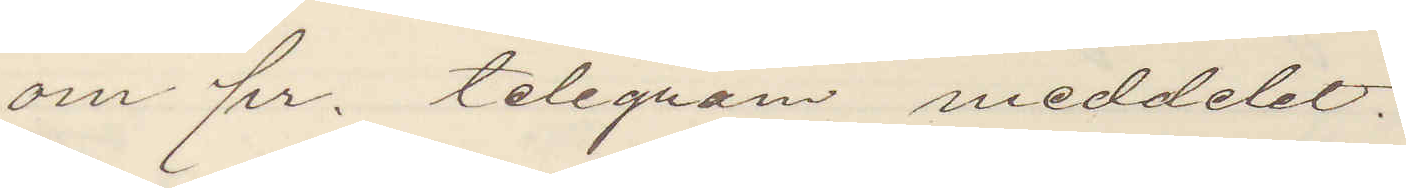om pr. telegram meddelet.
